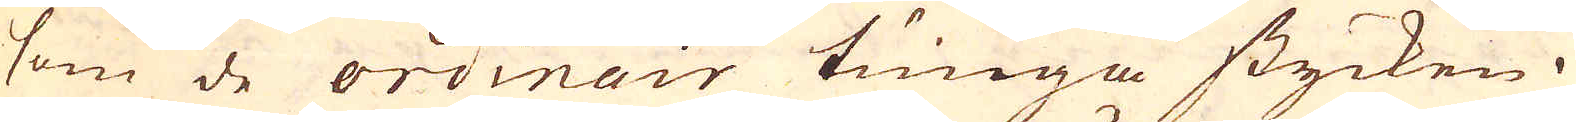som de ordinair tunga stycken.
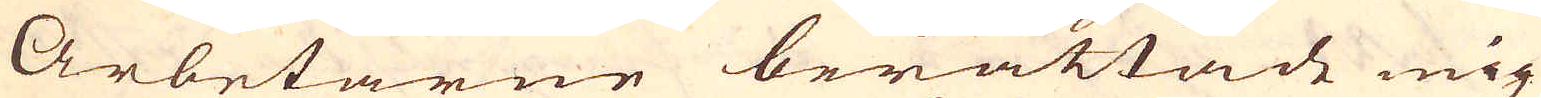Arbetarne berättade mig
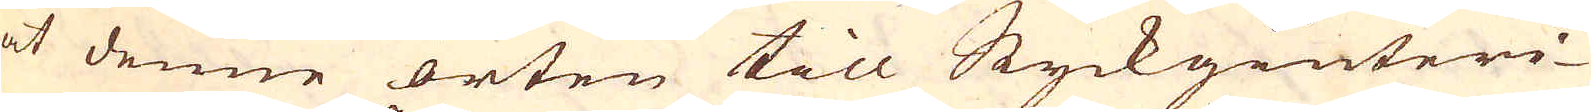at denne orten till Styckgiuteri-
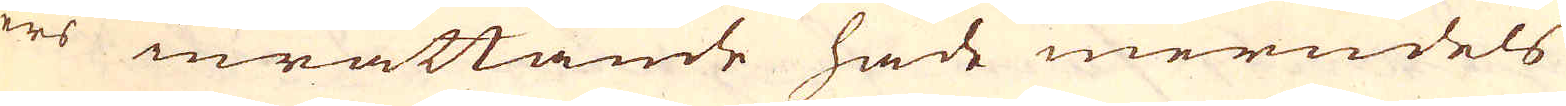ers inrättande hade merndels
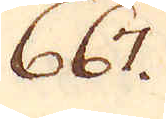667.
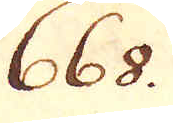668.
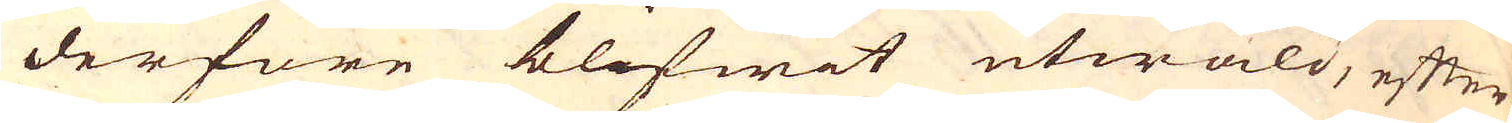derföre blifwit utwald, efter
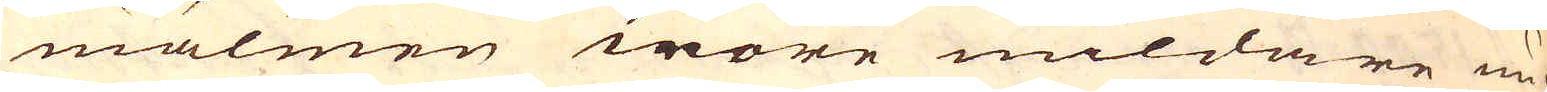malmen wore mildare un-
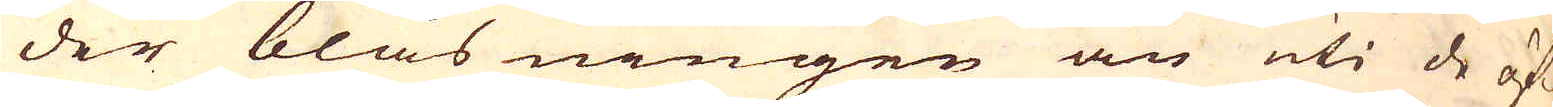der blåsningen än uti de öf-
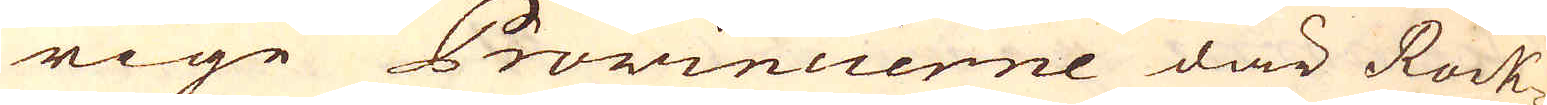rige Provincierne där Rock-
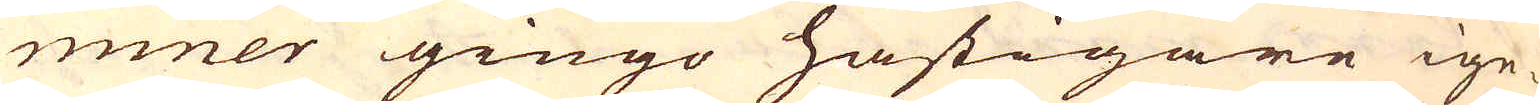miner gingo hastigare ige-
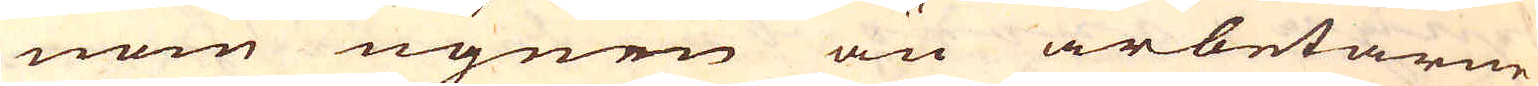nom ugnen än arbetarne
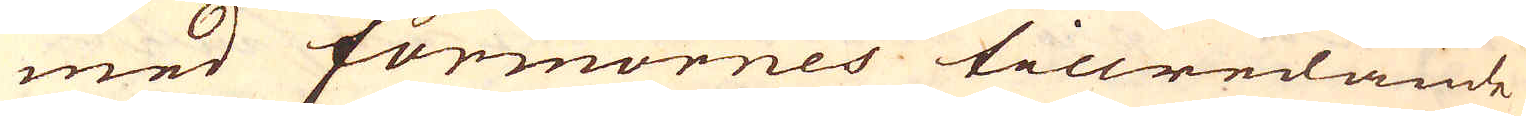med formornes tillredande
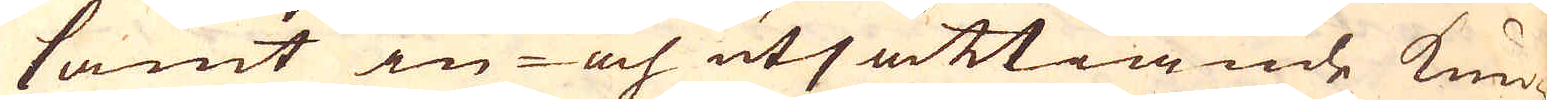samt in- och utsättiande kun-
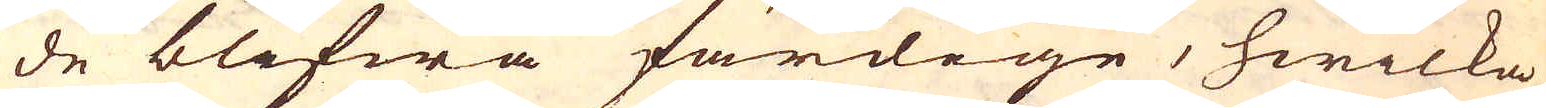de blifwa färdige, hwilka
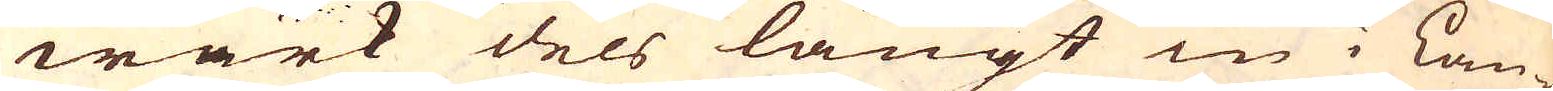wärk dels långt in i Lan-
